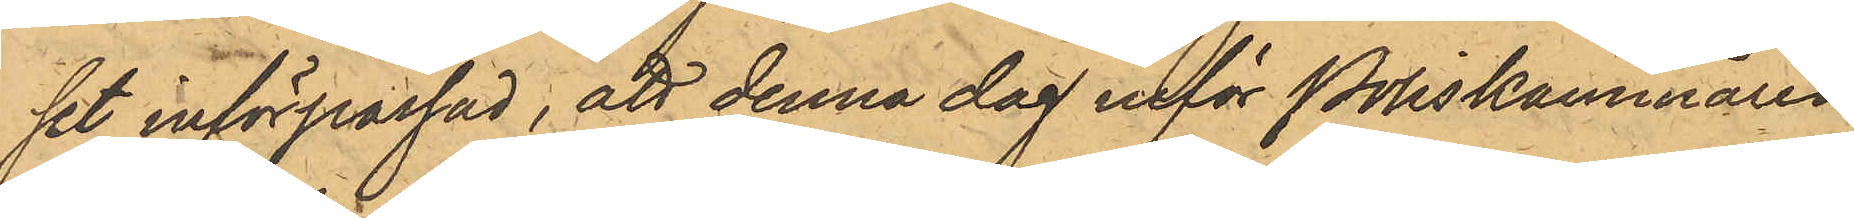set införpassad, att denna dag inför Poliskammaren
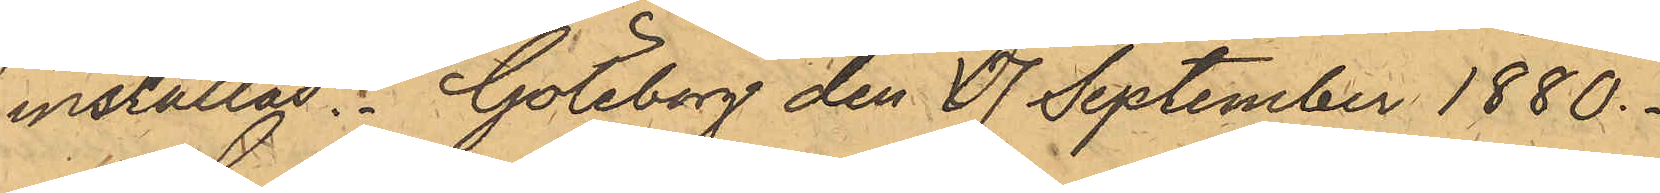inställas. Göteborg den 17 September 1880.
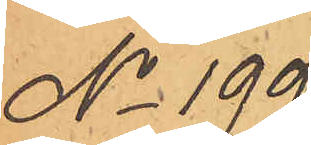No 199.
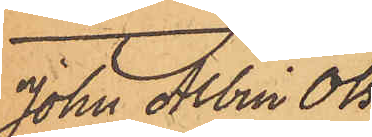John Albin Ols¬
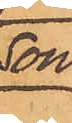son.
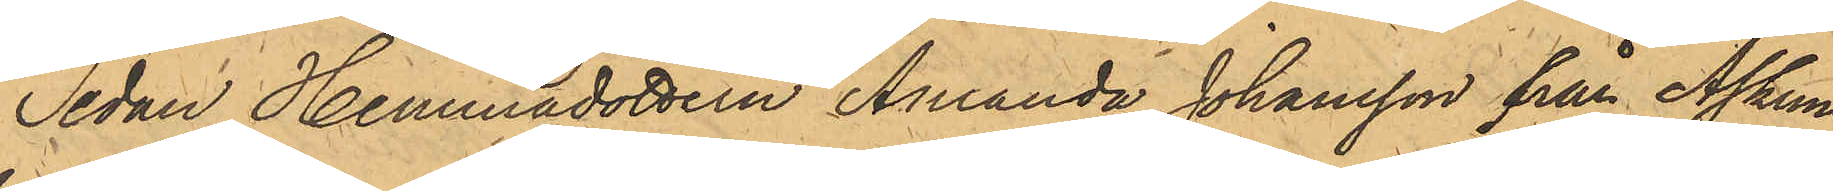Sedan Hemmadottern Amanda Johansson från Askims
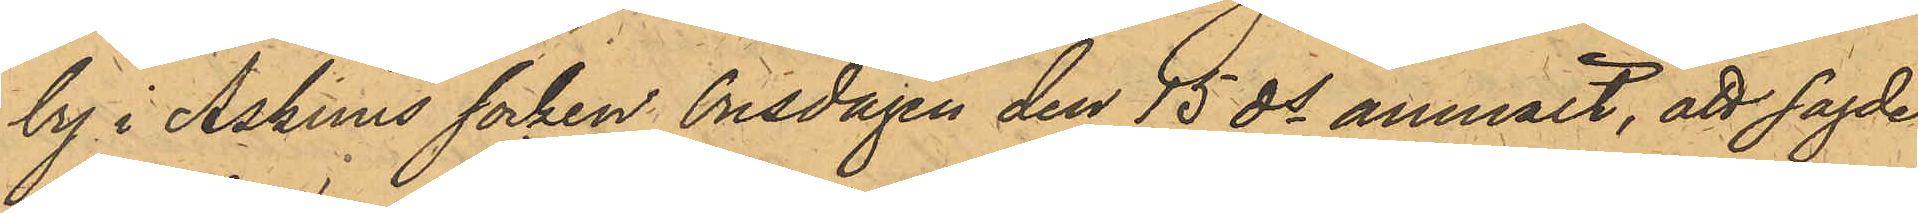by i Askims socken Onsdagen den 15 ds anmält, att sagde
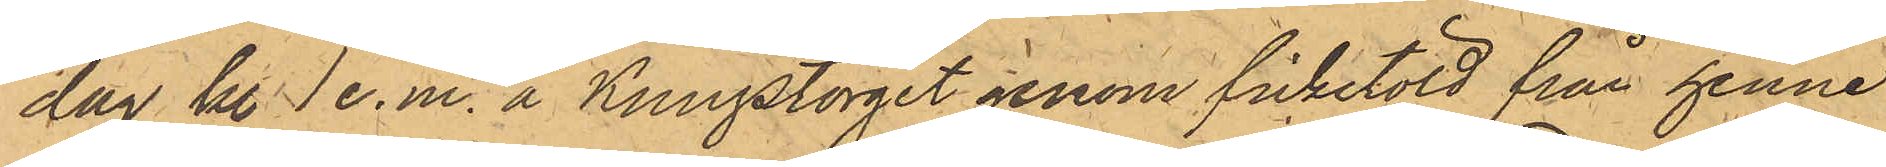dag kl. 1 e.m. å Kungstorget genom fickstöld från henne
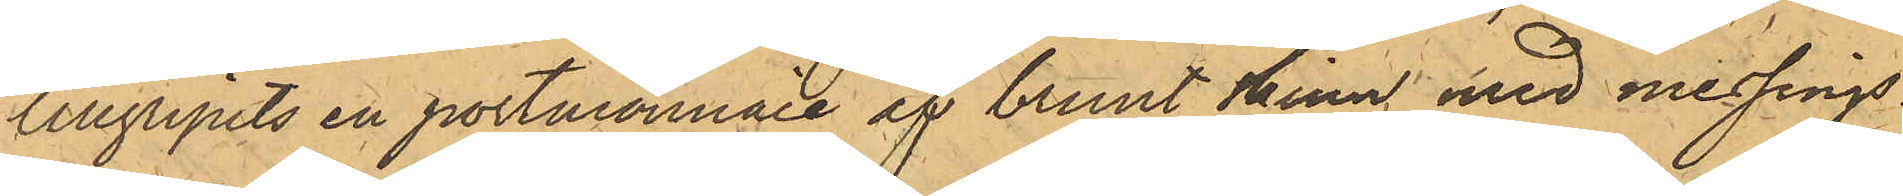tillgripits en portmonnaie af brunt skinn med messings¬
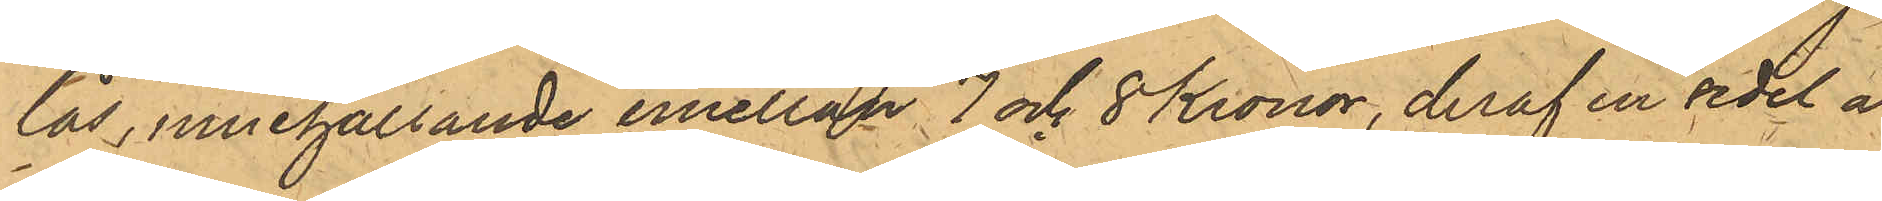lås, innehållande emellan 7 och 8 Kronor, deraf en sedel å
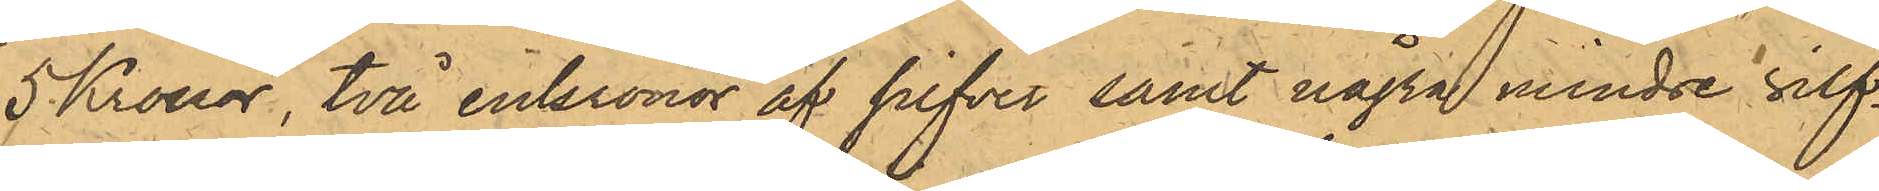5 Kronor, två enkronor af silfver samt några mindre silf¬
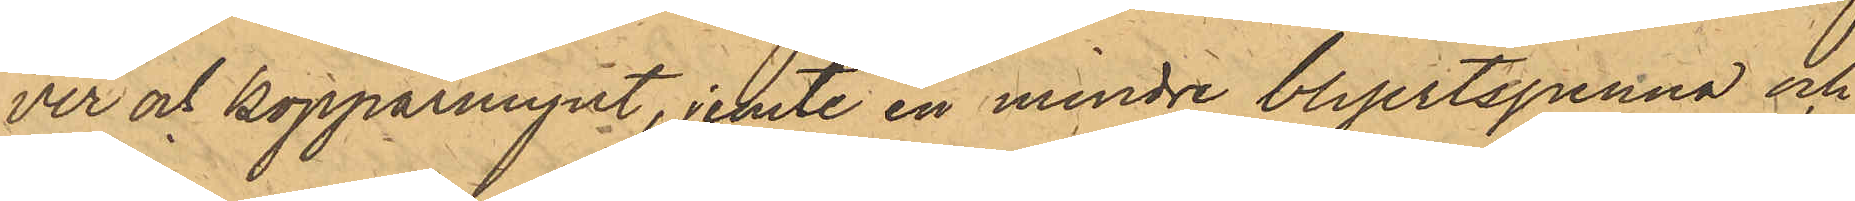ver och kopparmynt, jemte en mindre blyertspenna och
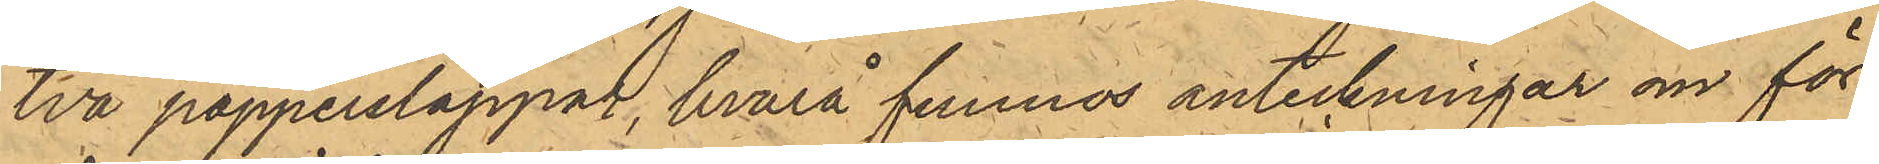två papperslappar, hvarå funnos anteckningar om för¬
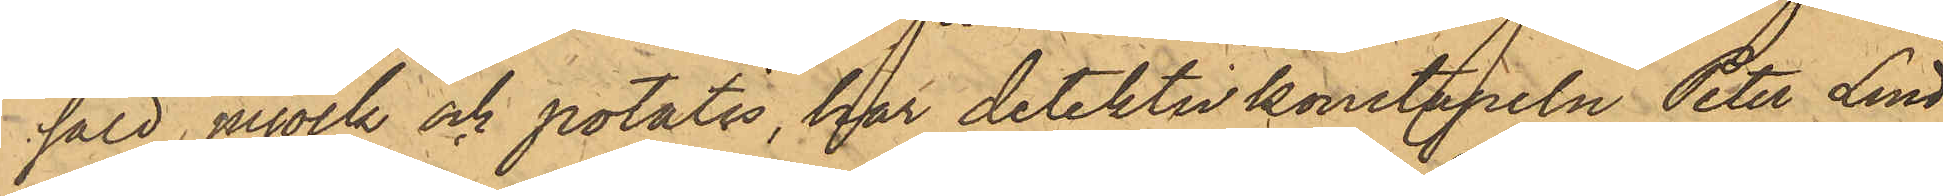såld mjölk och potatis, har detektivkonstapeln Peter Lind¬
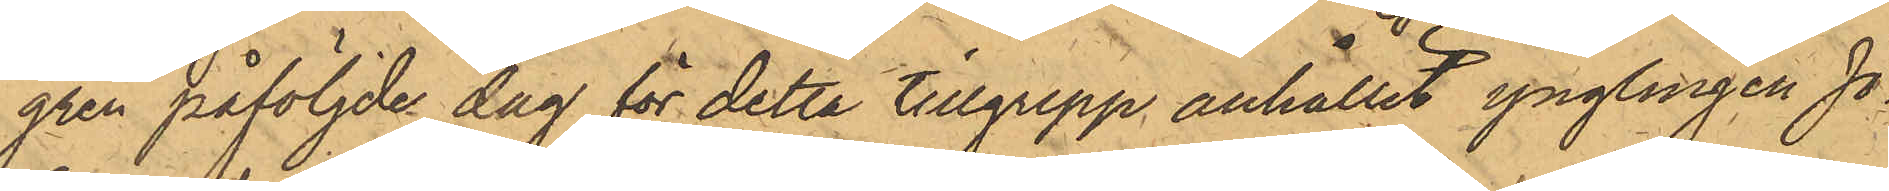gren påföljde dag för detta tillgrepp anhållit ynglingen Jo¬
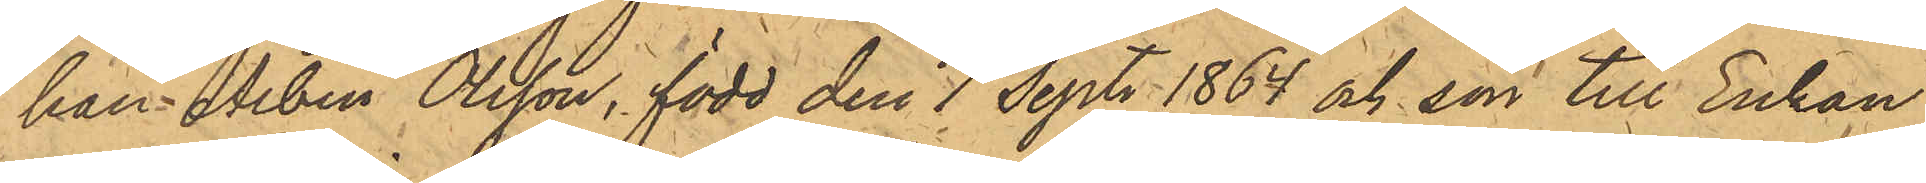han Albin Olsson, född den 7 Sept. 1864 och son till Enkan
